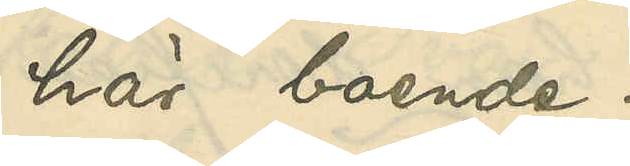här boende.
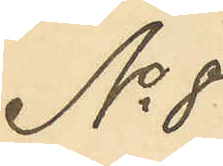No 8
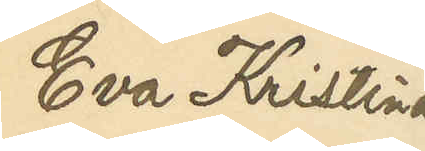Eva Kristina
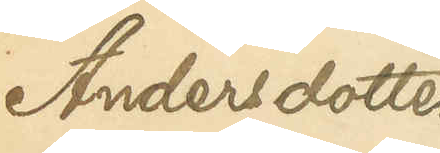Andersdotter
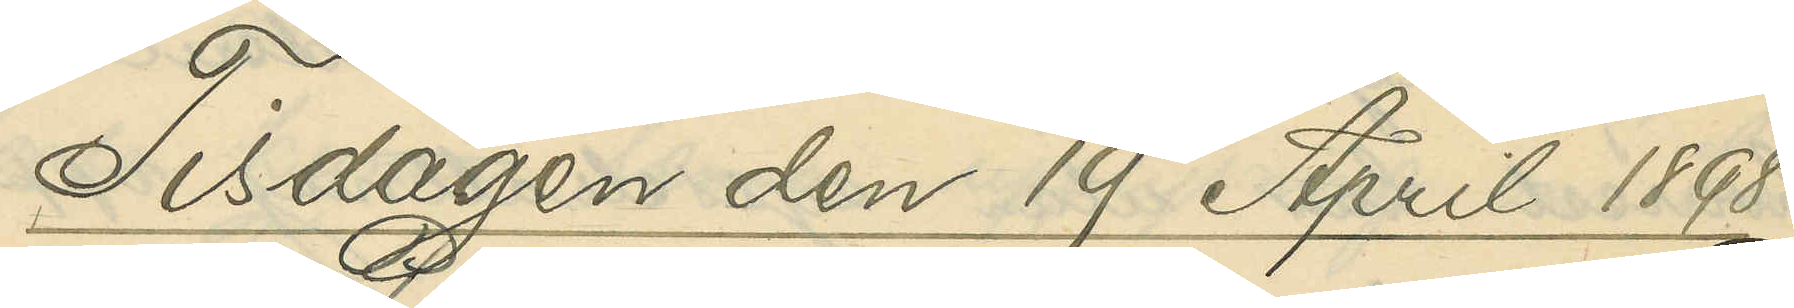Tisdagen den 19 April 1898
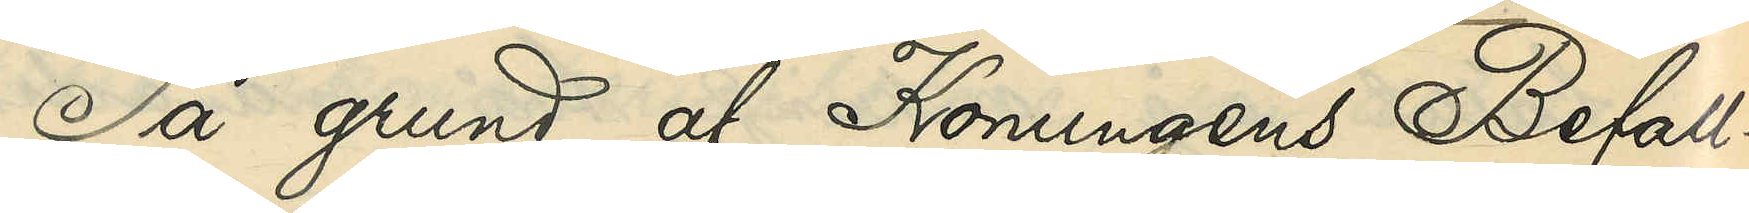På grund af Konungens Befall¬
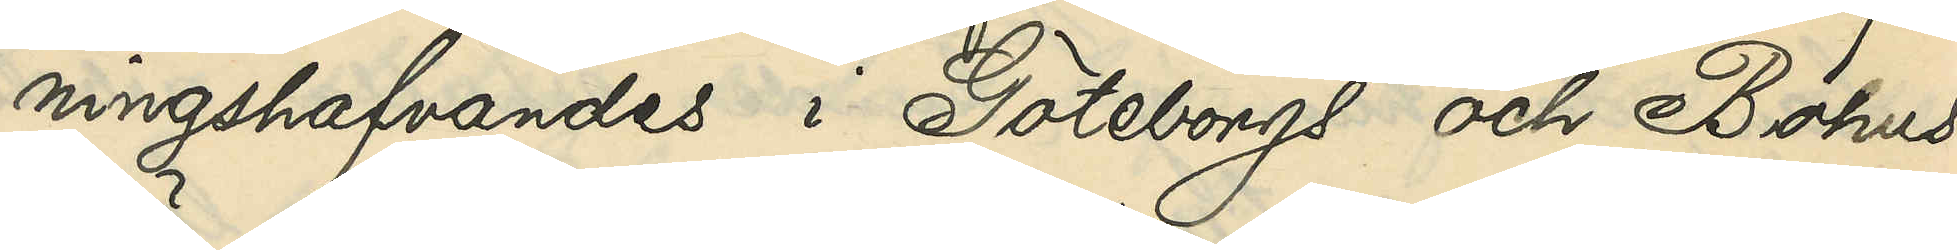ningshafvandes i Göteborgs och Bohus
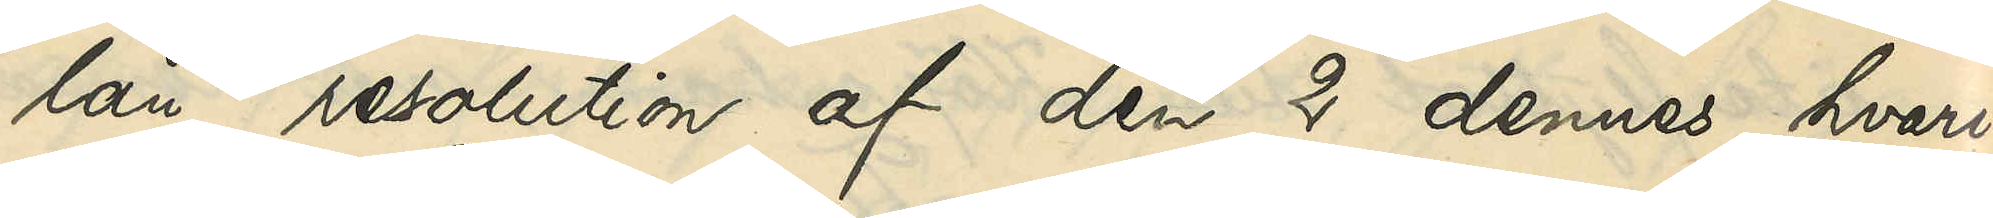län resolution af den 2 dennes, hvari¬
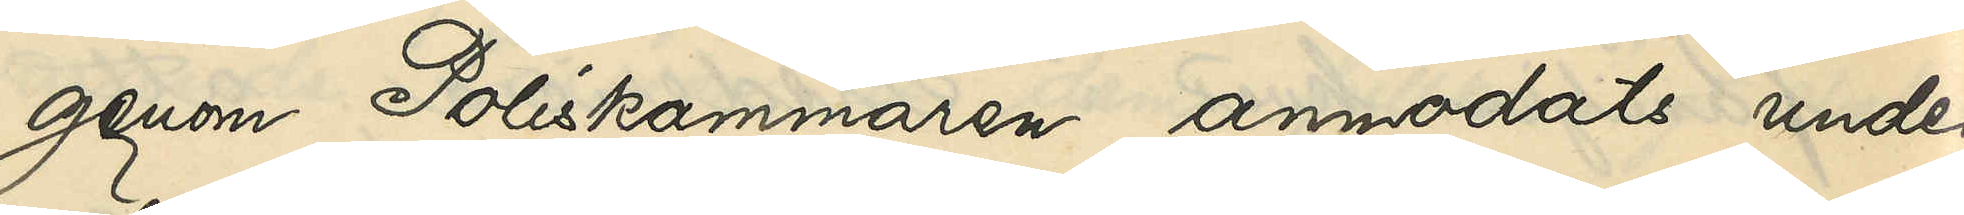genom Poliskammaren anmodats under¬
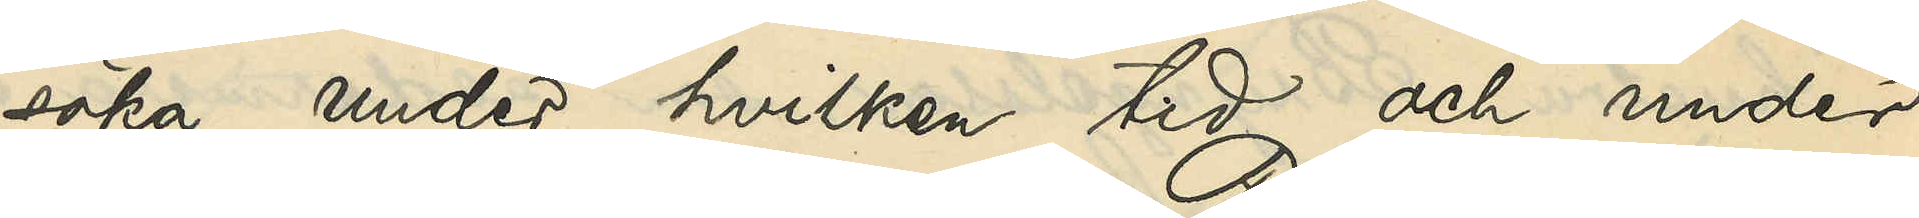söka, under hvilken tid och under
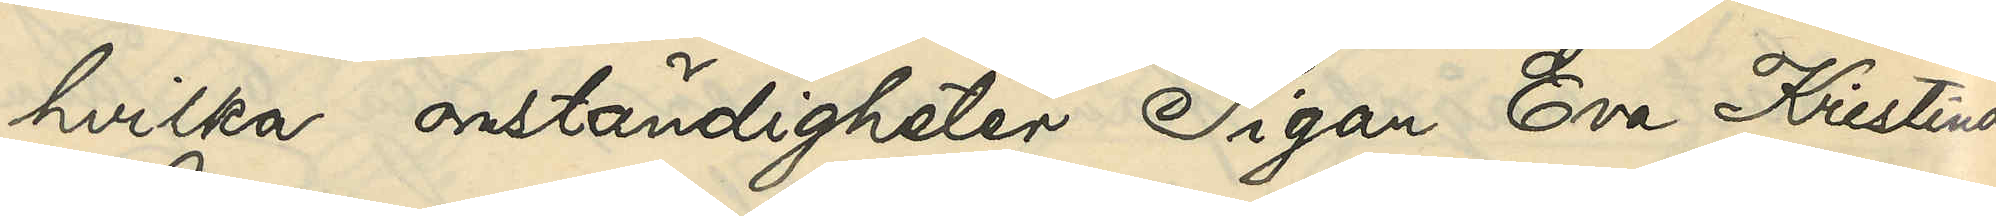hvilka omständigheter Pigan Eva Kristina
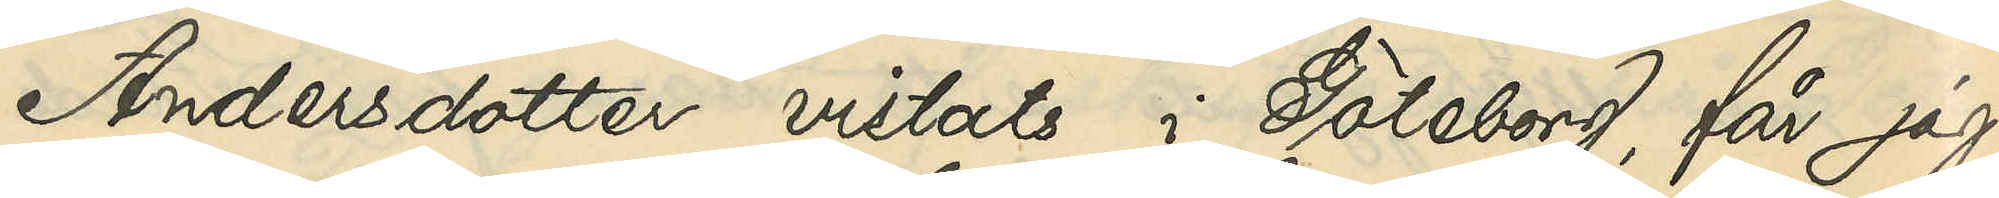Andersdotter vistats i Göteborg, får jag,
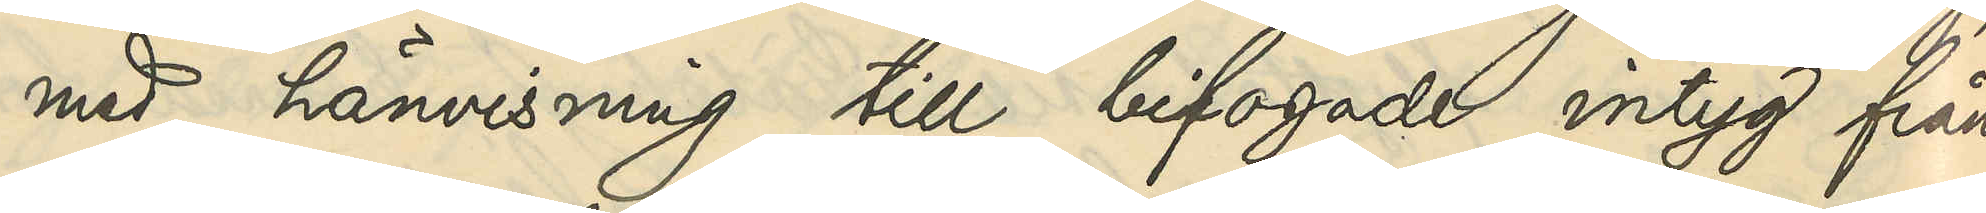med hänvisning till bifogade intyg från
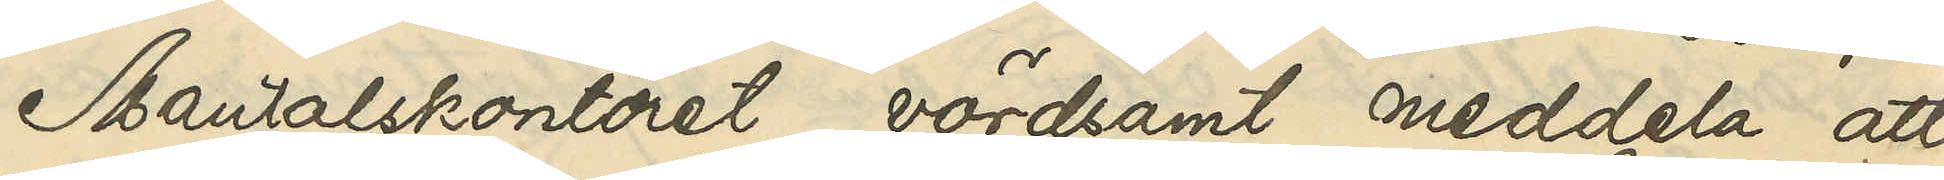Mantalskontoret, vördsamt meddela, att
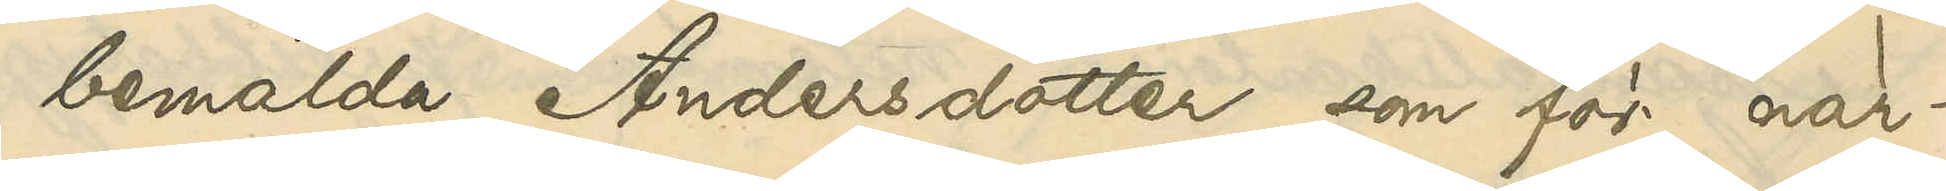bemälda Andersdotter, som för när¬
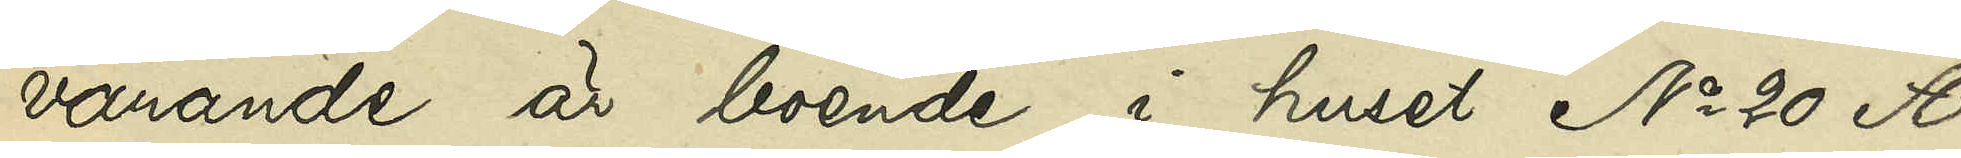varande är boende i huset No 20 A
